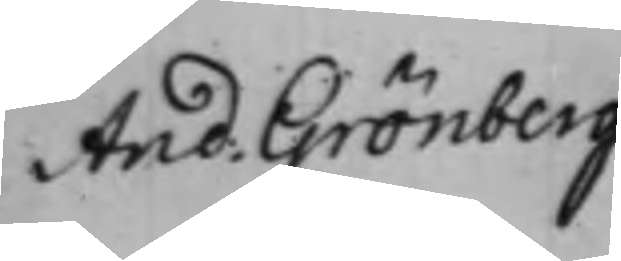And. Grönberg
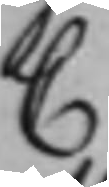C
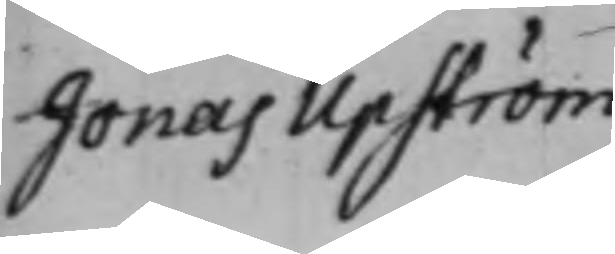Jonas Upström
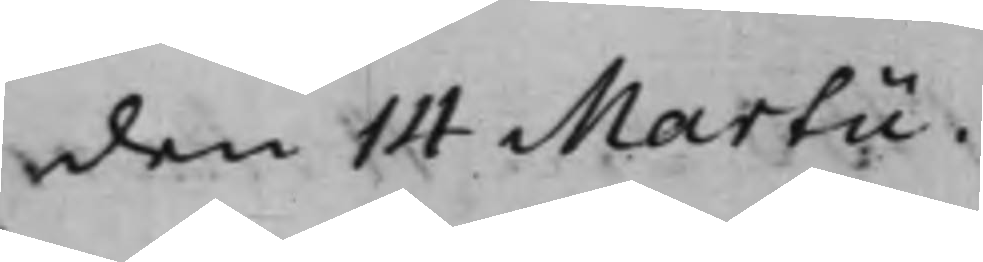den 14 Martii.
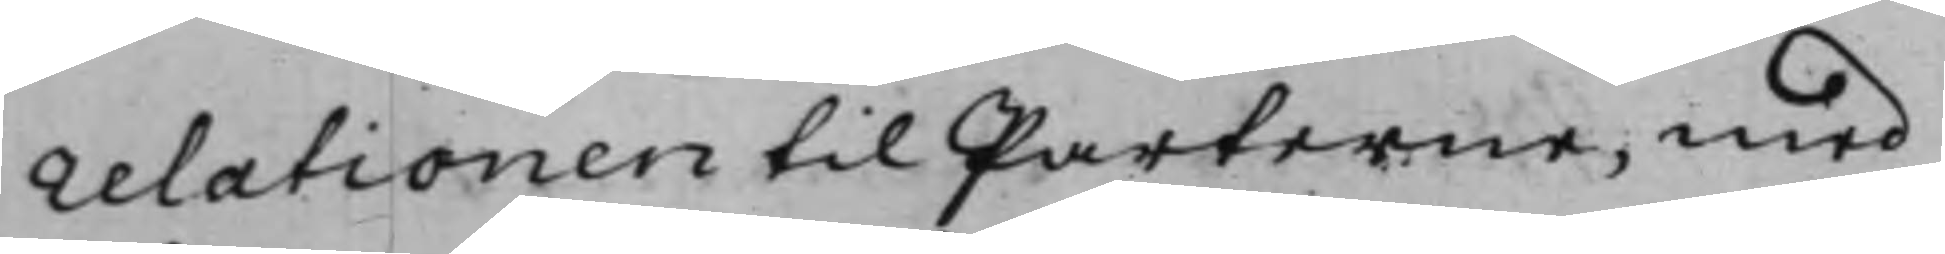relationen til Parterne, med
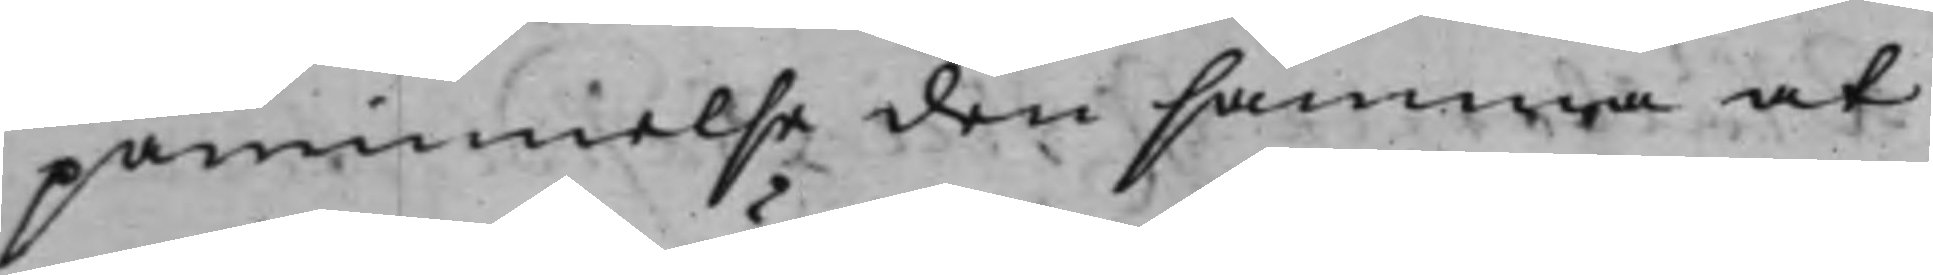påminnelse den samma at
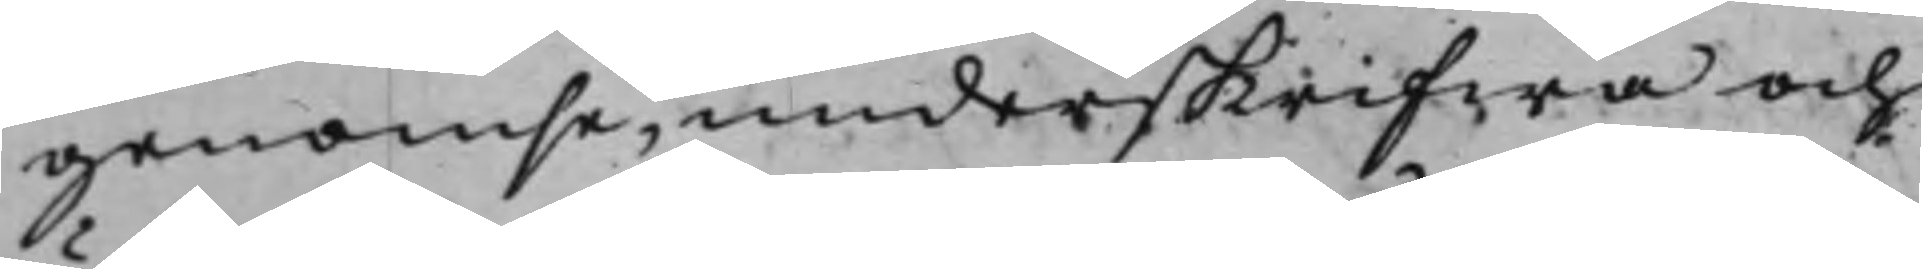genomse, underskrifwa och
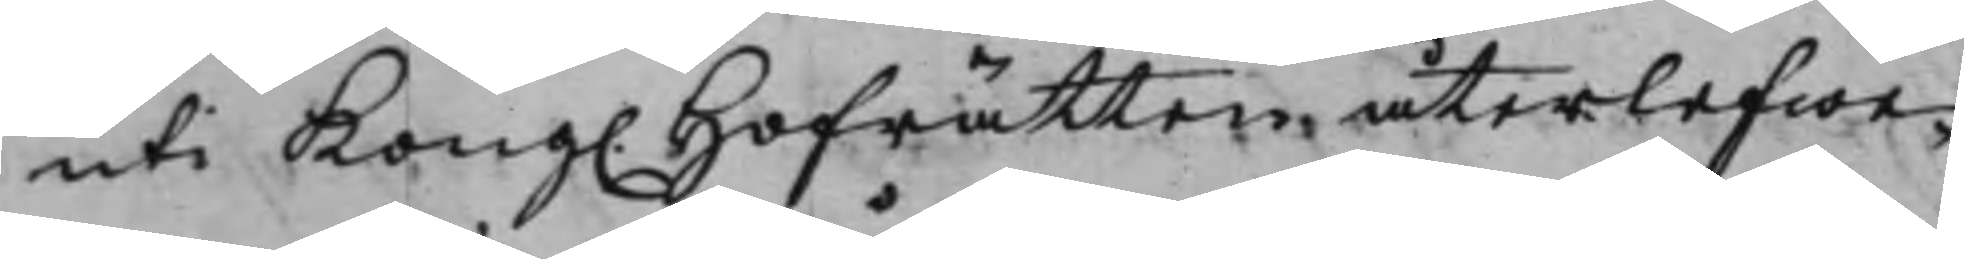uti Kong. Hofrätten återlefwe¬
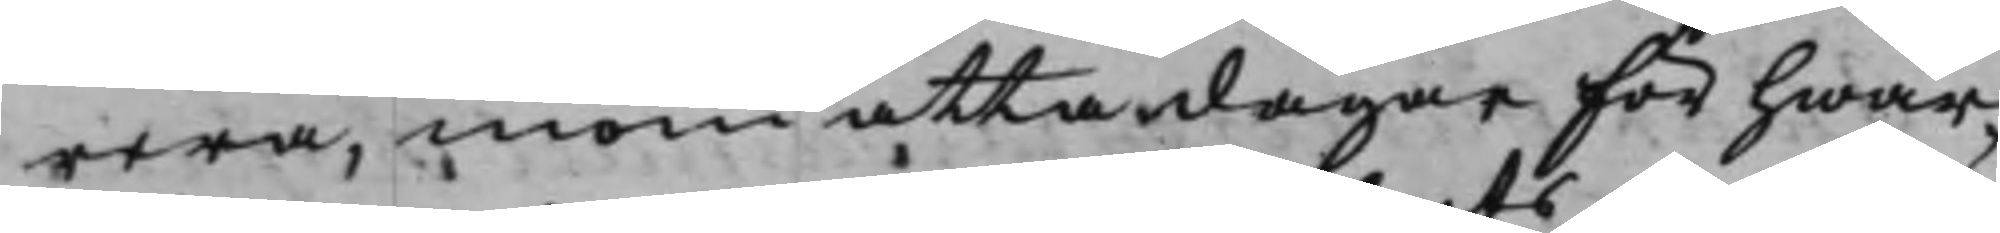rera, inom åtta dagar för hwar¬
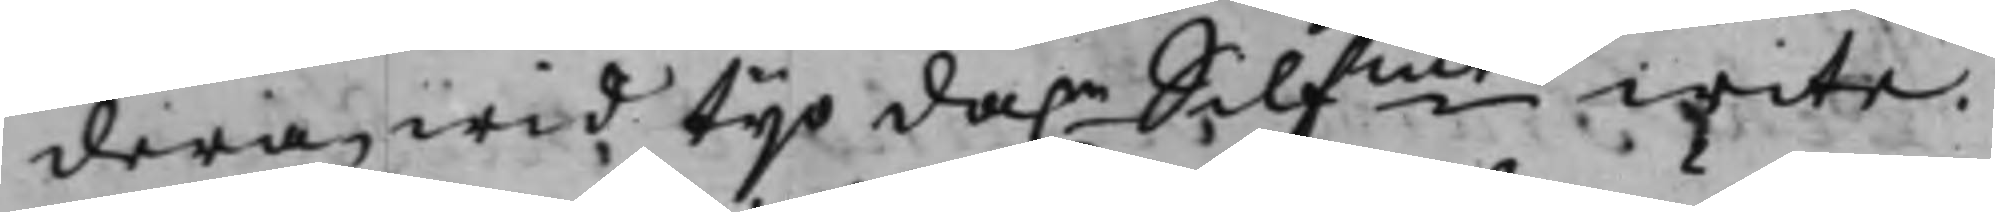dera, wid tijo da.r Silfmts wite.
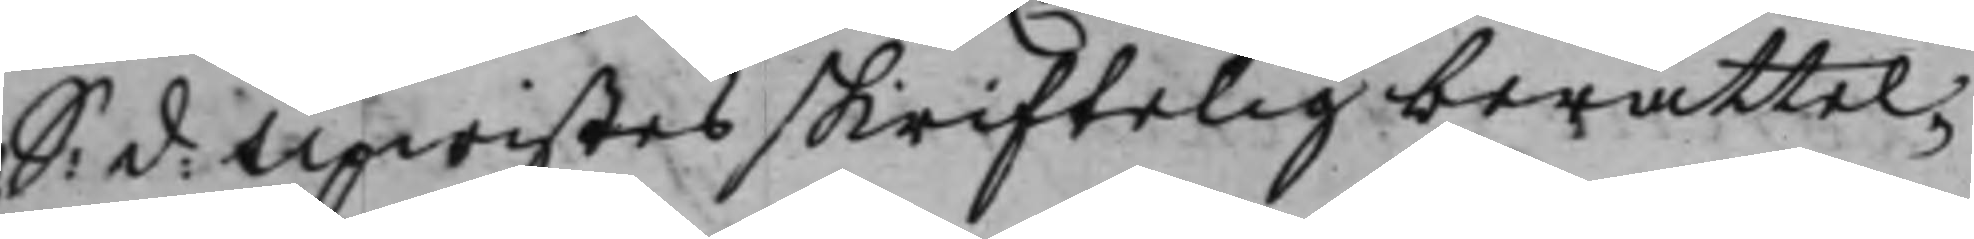S:d: Upwistes skriftelig berättel¬
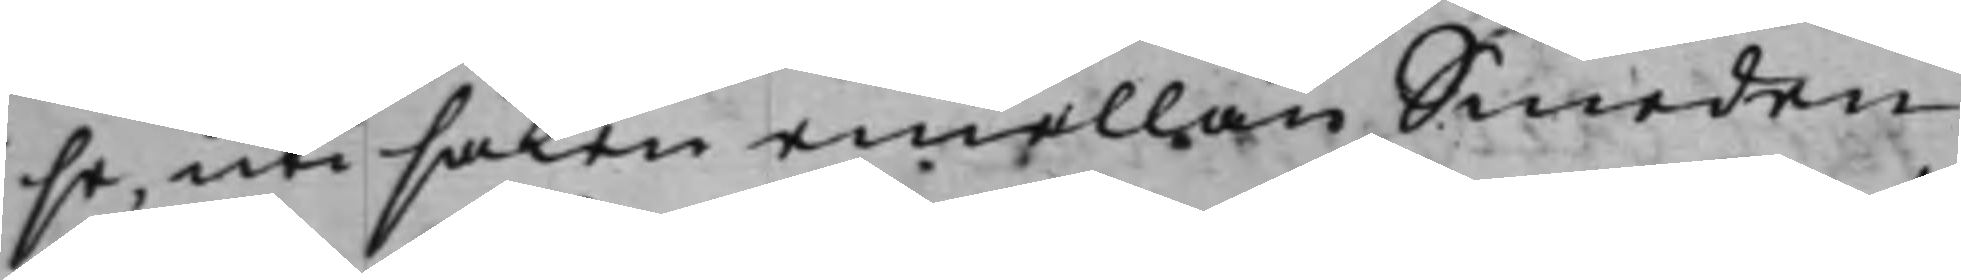se, uti saken emellan Smeden
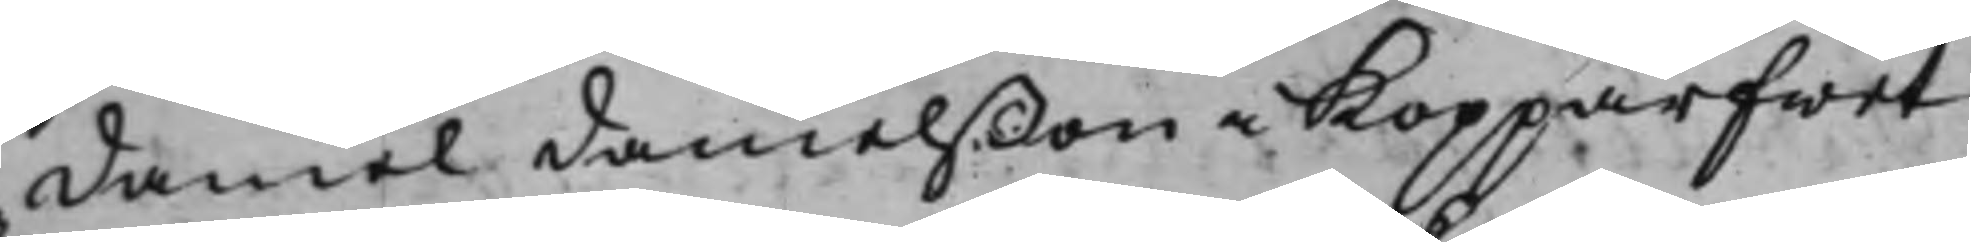Daniel Danielßon i Kopparfwet
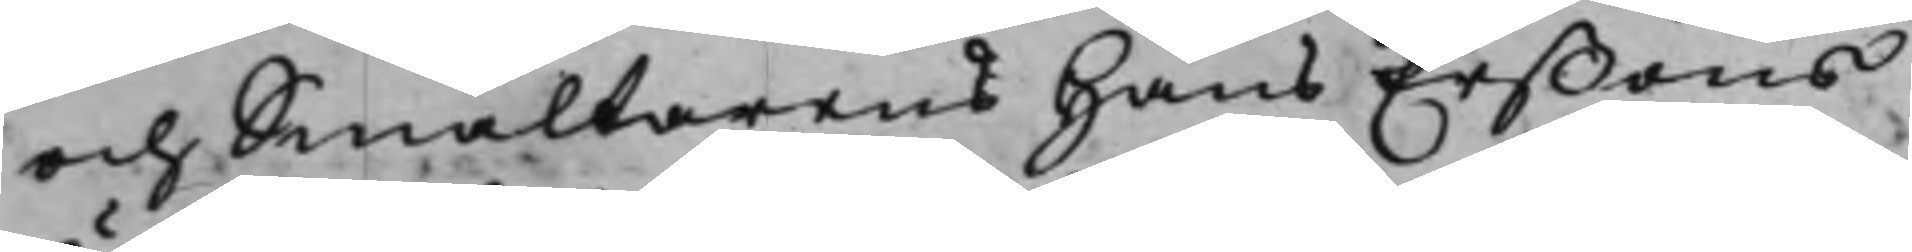och Smältarens Hans Erßons
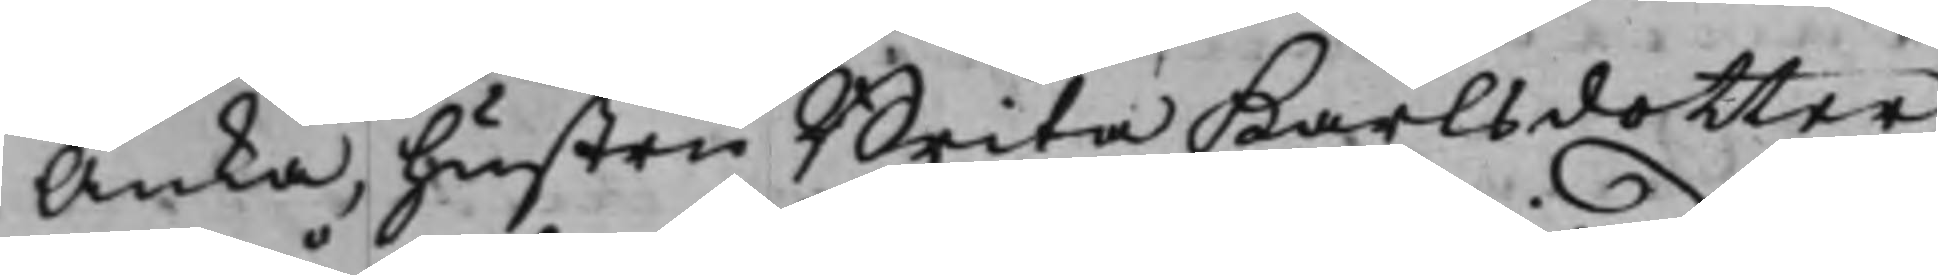Änka, hustru Brita Karlsdotter,
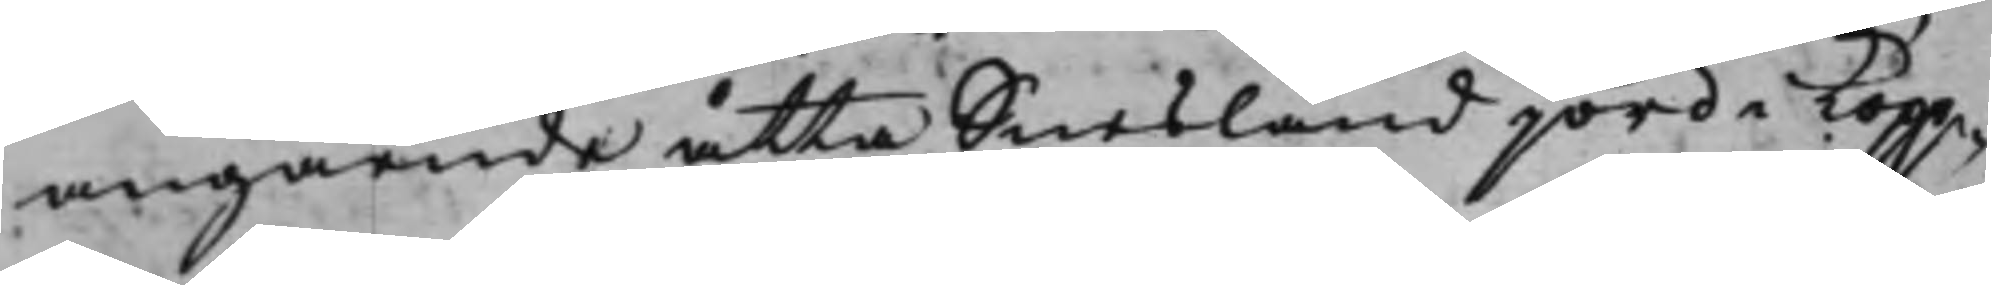angående åtta Snesland jord i Kopp¬
